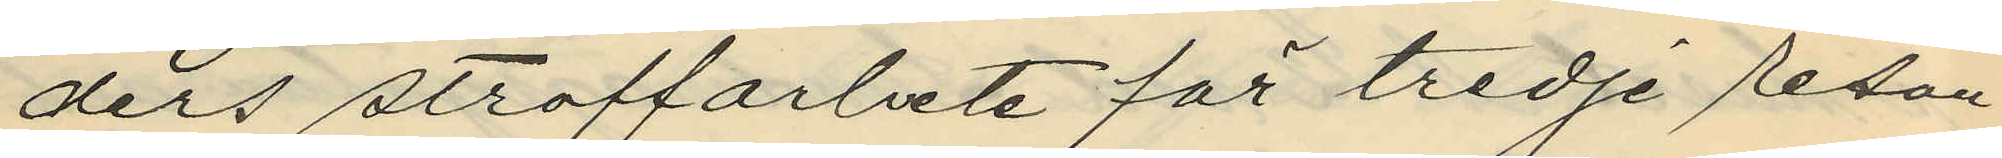ders straffarbete för tredje resan
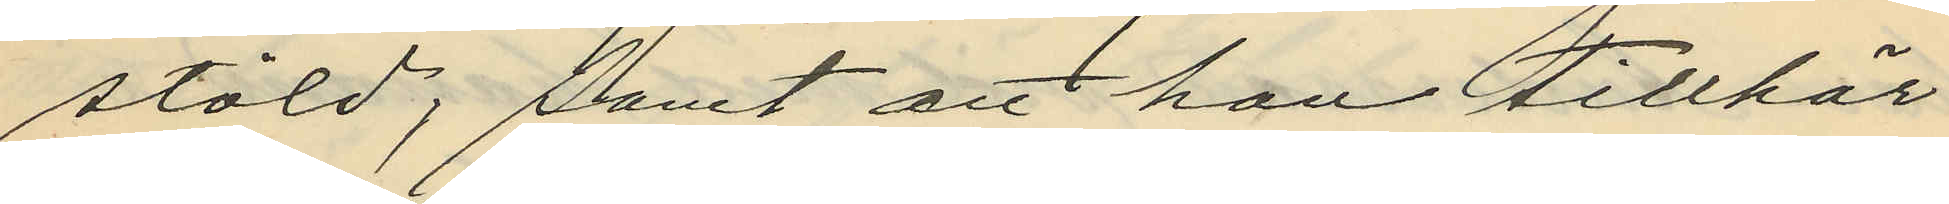stöld; samt att han tillhör
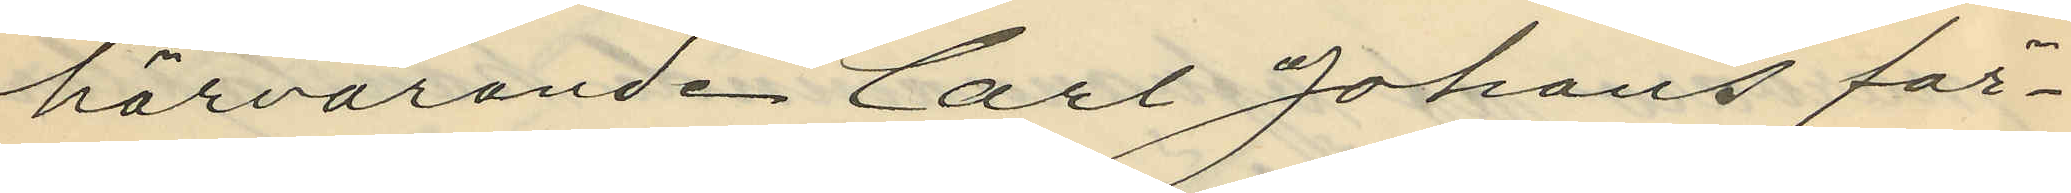härvarande Carl Johans för¬
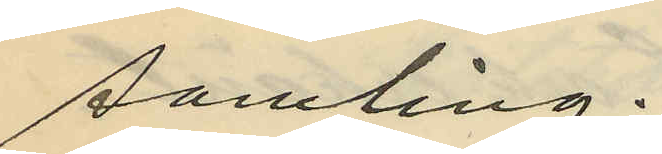samling.
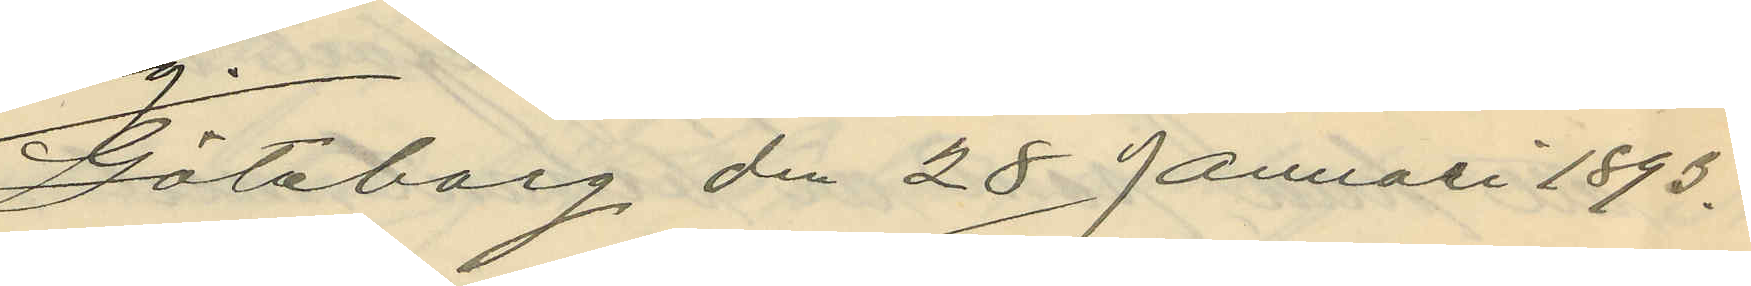Göteborg den 28 Januari 1893.
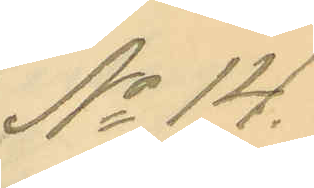No 14.
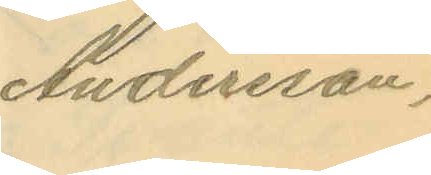Andersson.
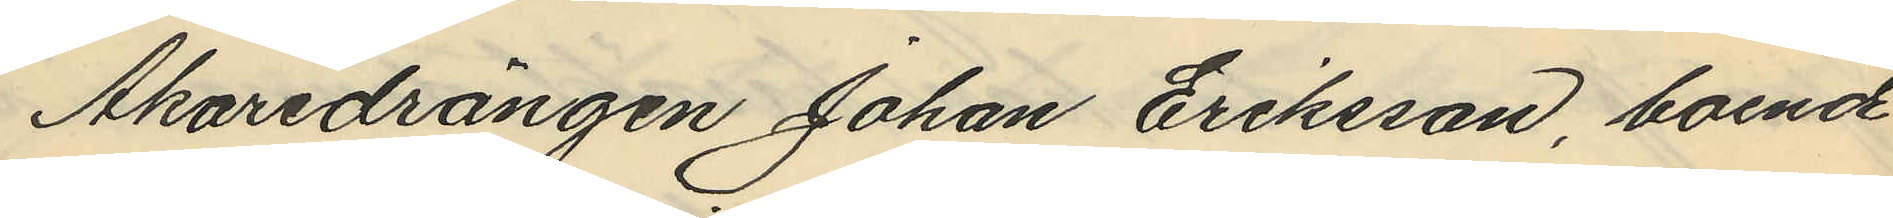Åkaredrängen Johan Eriksson, boende
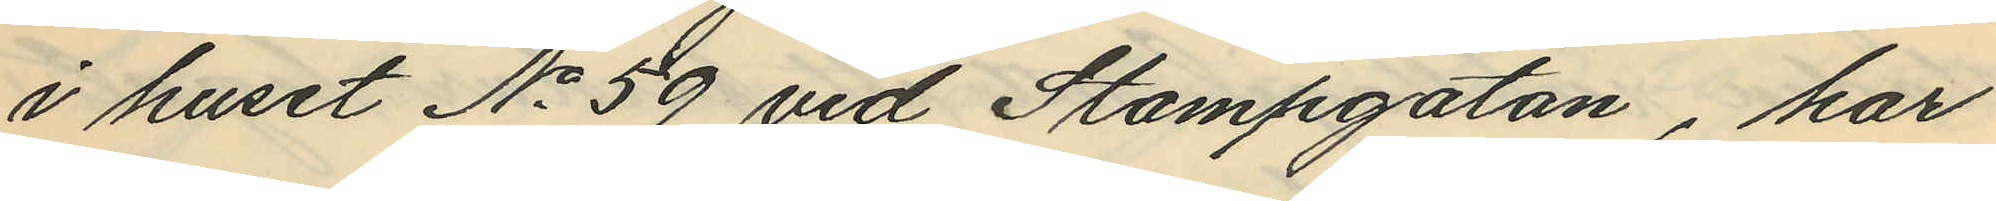i huset No 59 vid Stampgatan, har
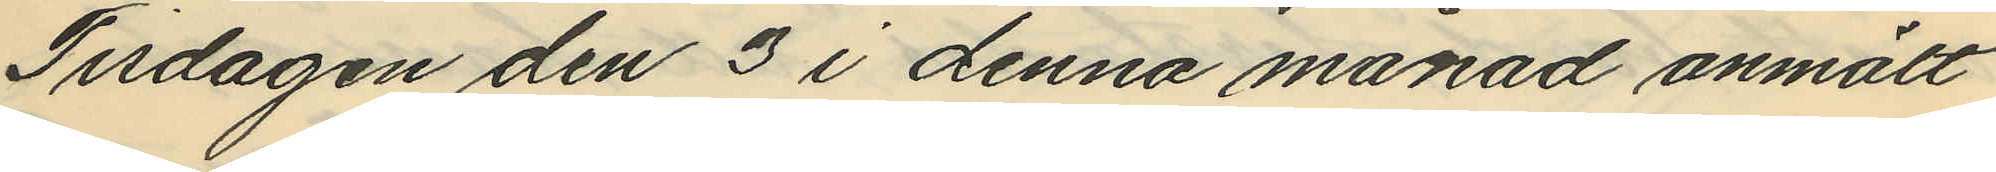Tisdagen den 3 i denna månad anmält
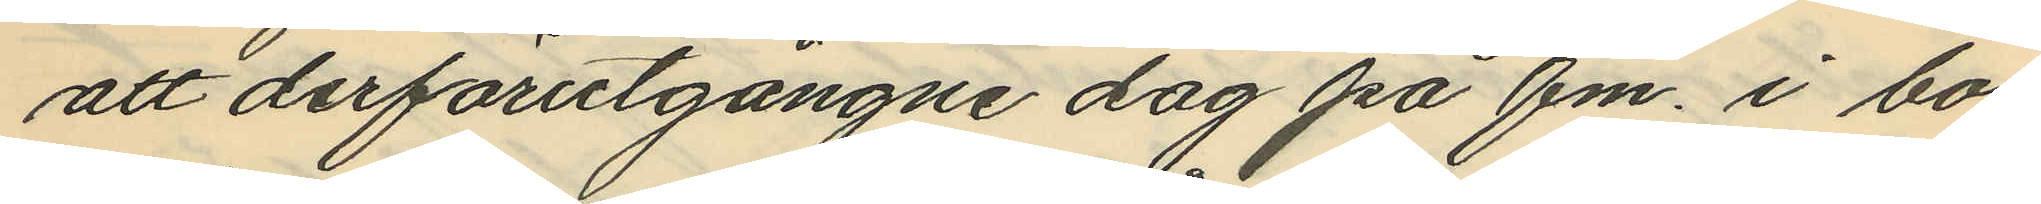att derförutgångne dag på fm. i bo¬
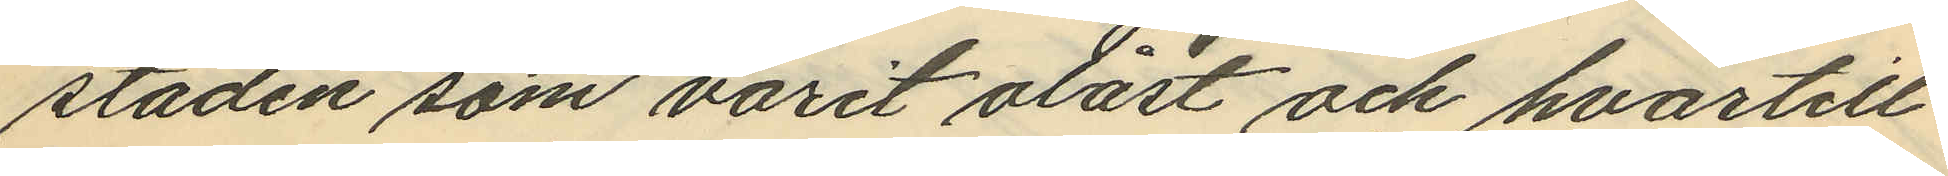staden som varit olåst och hvartill
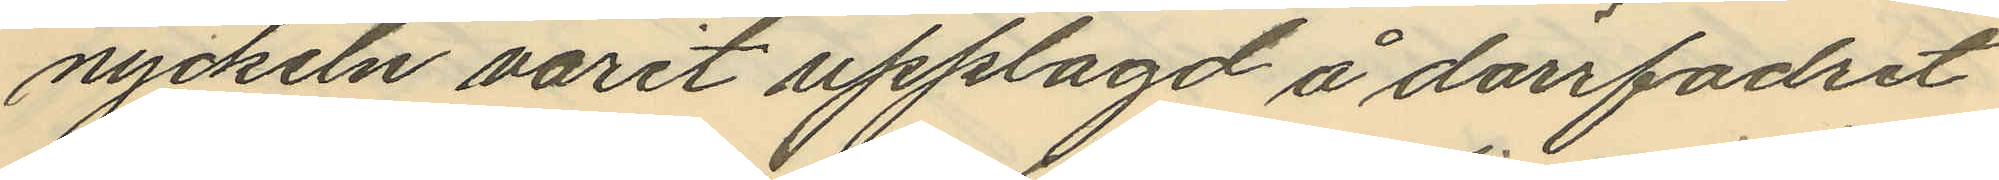nyckeln varit upplagd å dörrfodret
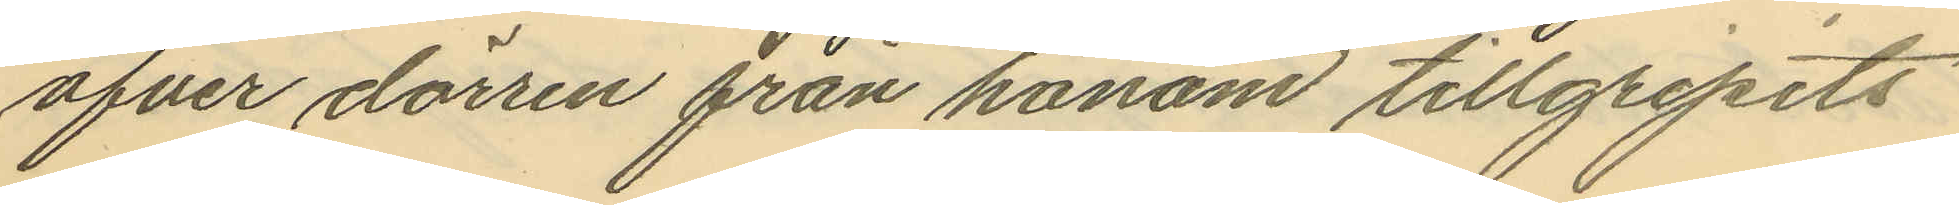öfver dörren från honom tillgripits
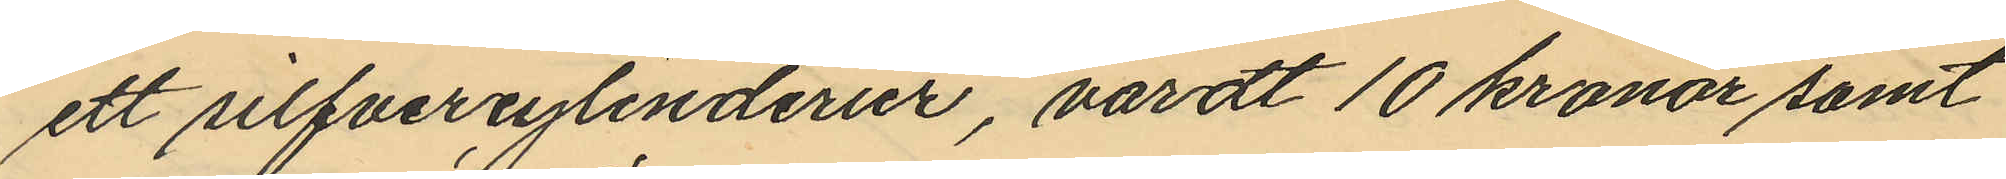ett silfvercylinderur, värdt 10 kronor samt
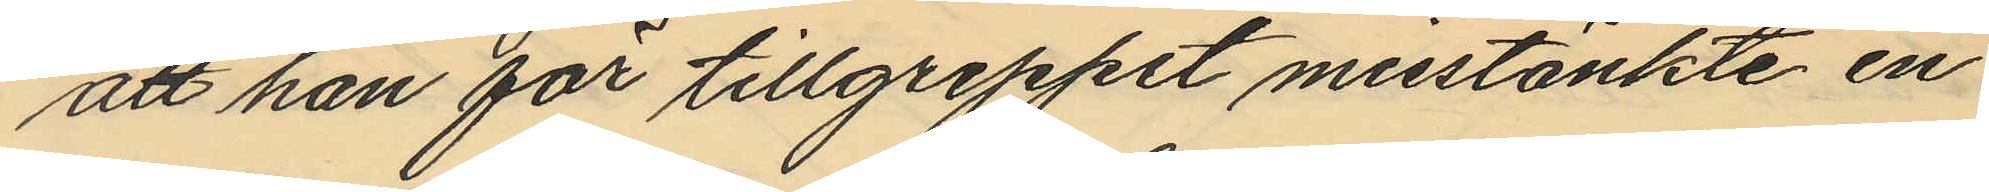att han för tillgreppet misstänkte en
